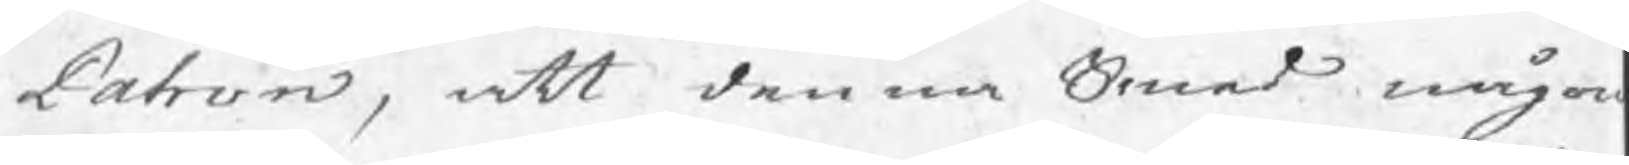Patron, att denna Smed någon
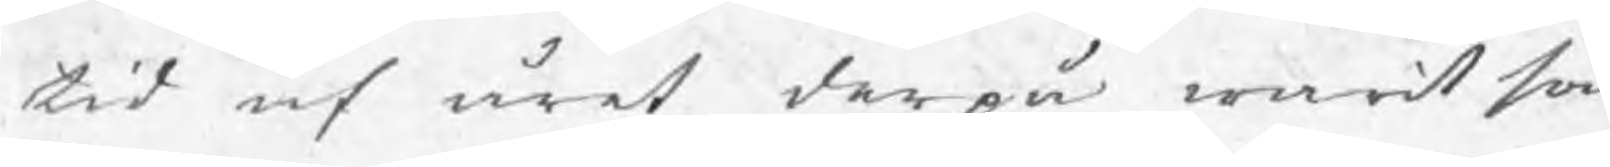tid af året derpå warit som
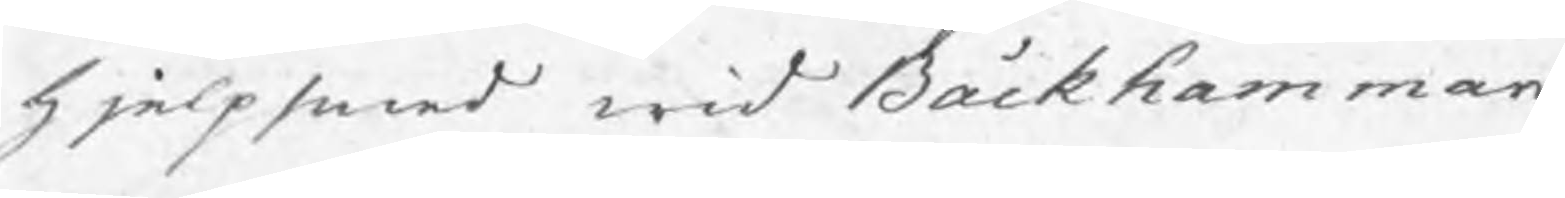hjelpsmed wid Bäckhammar,
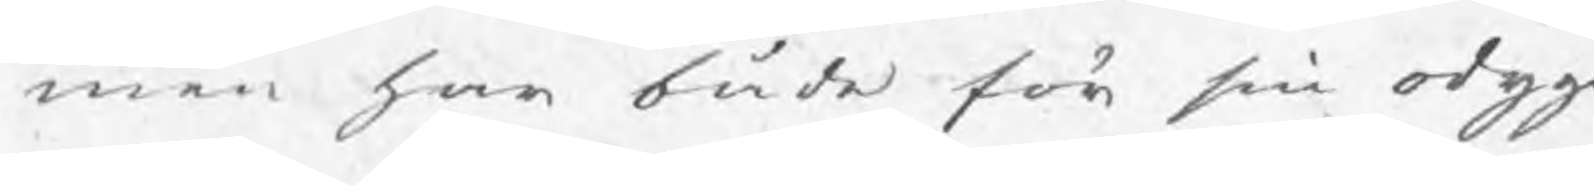men har både för sin odygd
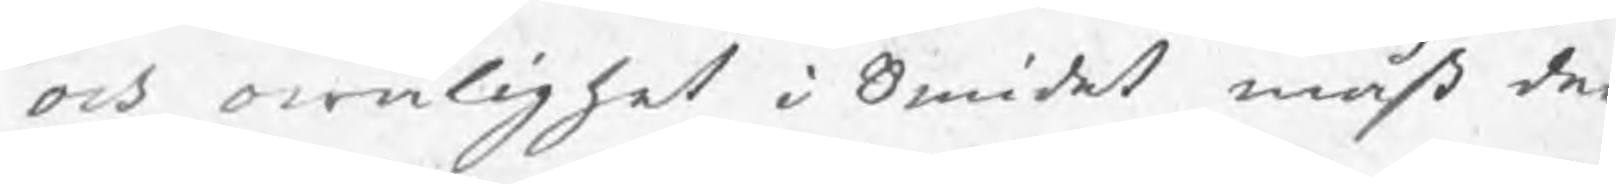och owålighet i Smidet måst der¬
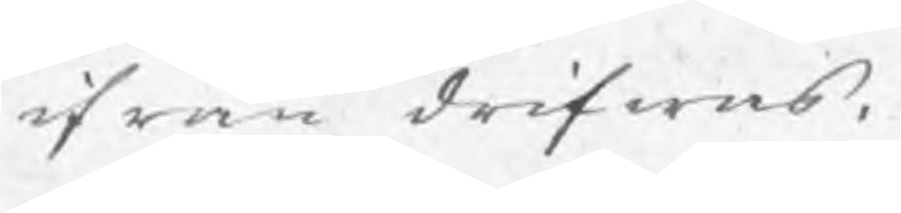ifrån drifwas.
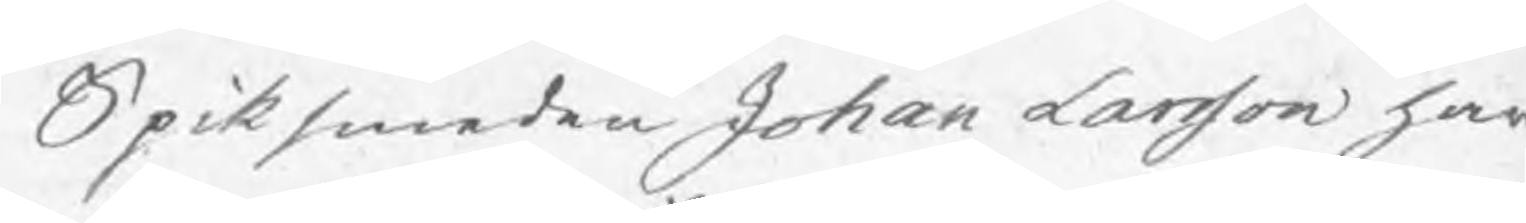Spiksmeden Johan Larsson har
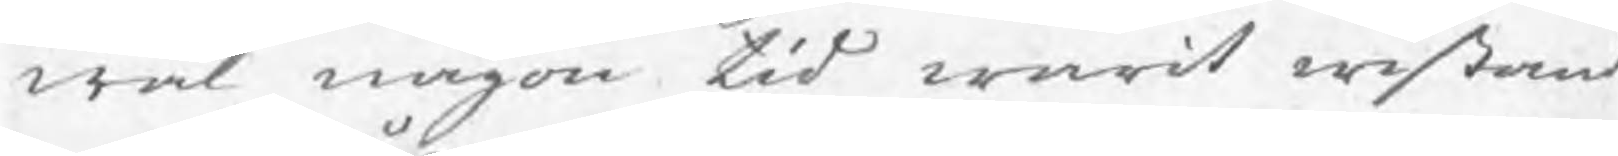wäl någon tid warit wistand
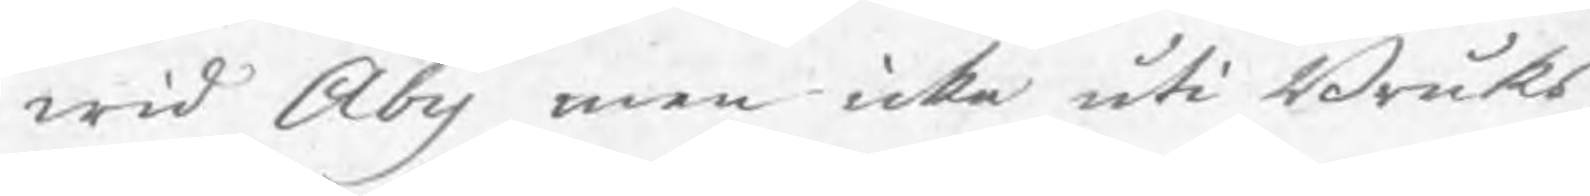wid Åby men icke uti Bruks¬
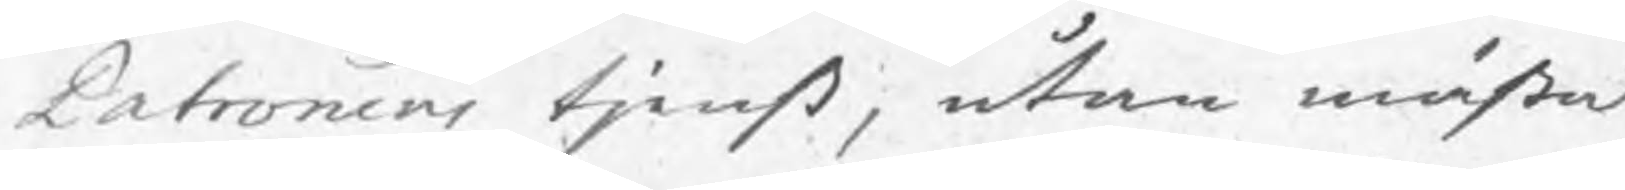Patronens tjenst, utan mästa
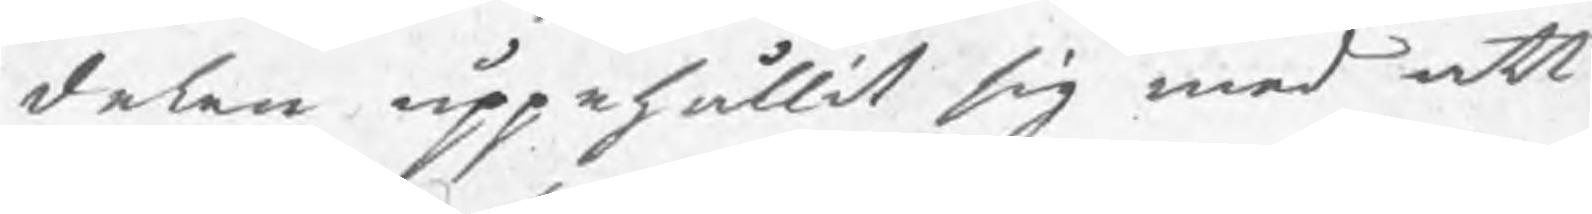delen uppehållit sig med att
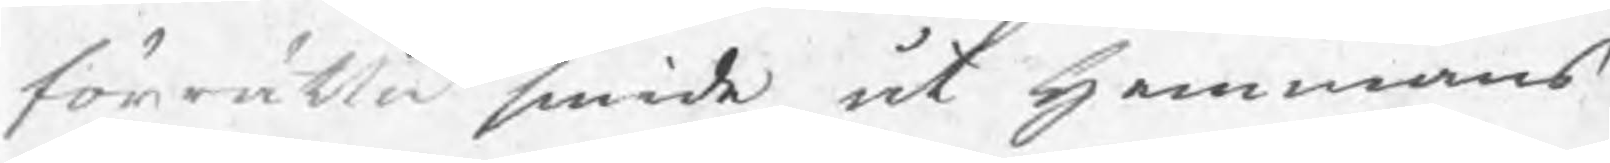förrätta smide åt hemmans¬
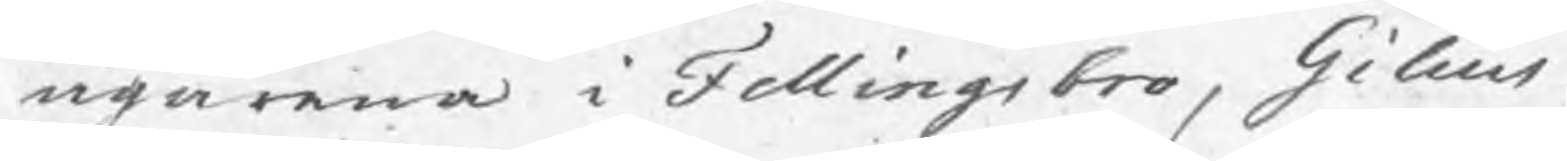ägarna i Fellingsbro, Gilius
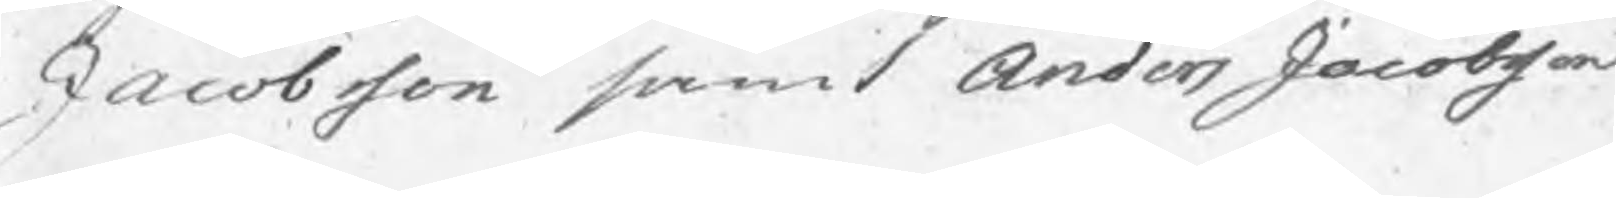Jacobsson samt Anders Jacobsson
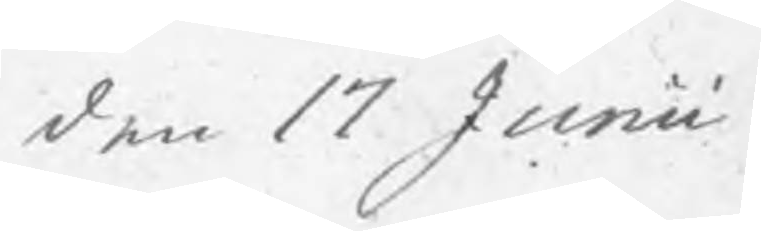den 17 Junii
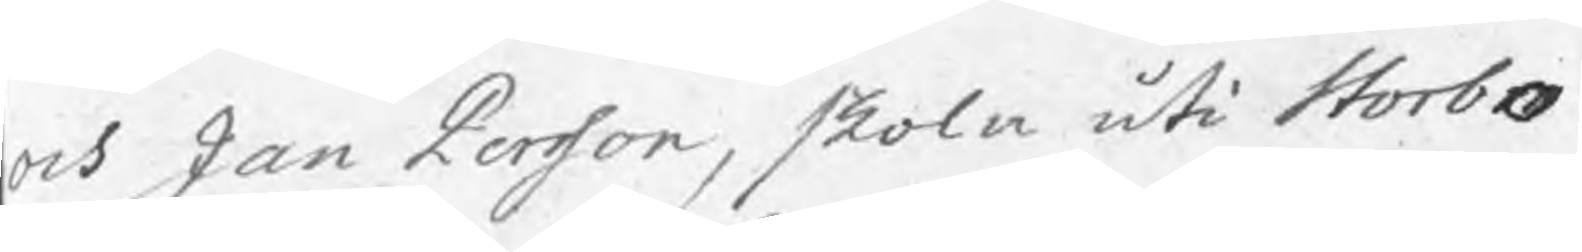och Jan Persson, skola uti Storbo
